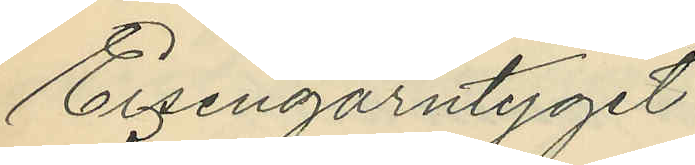Eisengarntyget
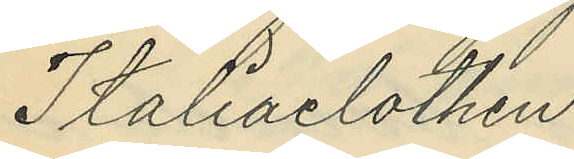Italiaclothen
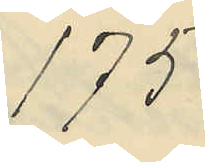175
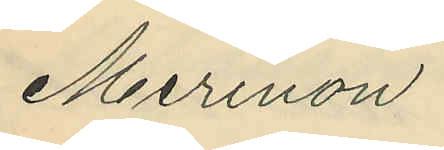Merinon
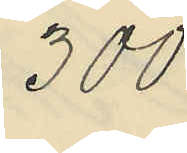300
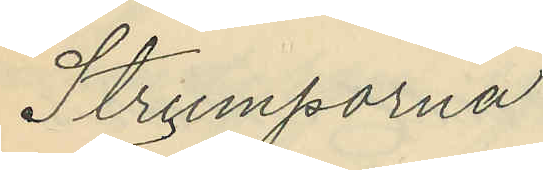Strumporna
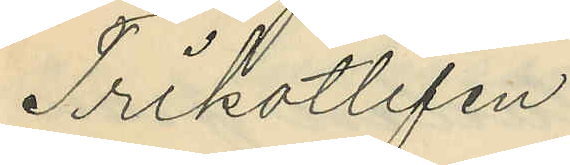Trikotlifen
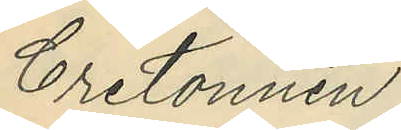Cretonnen
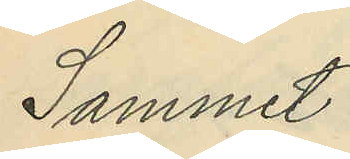Sammet
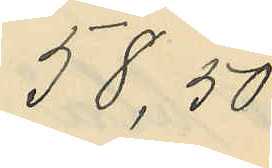58,50
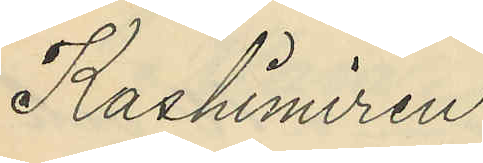Kashimiren
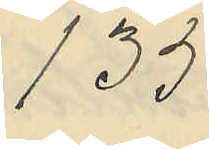135
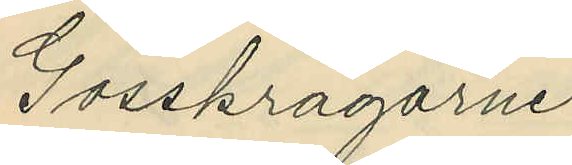Gosskragarne
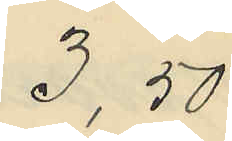3,50
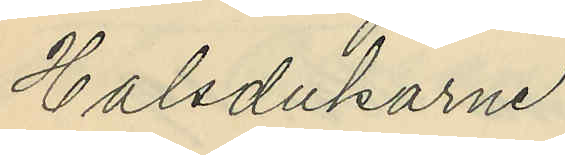Halsdukarne
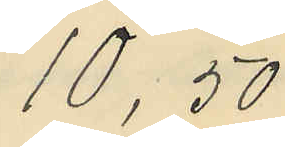10,50
